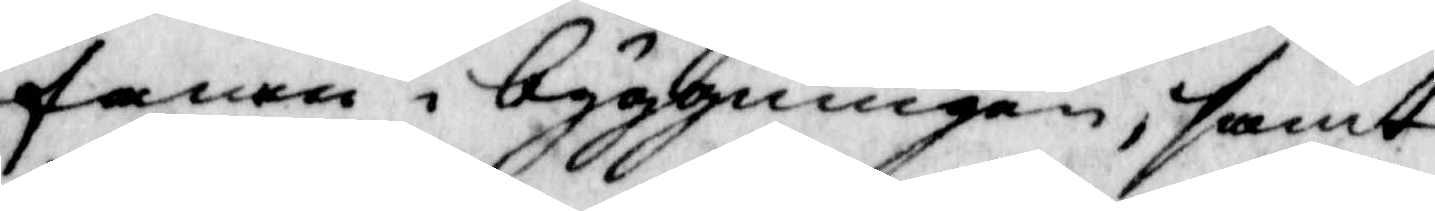fanen i byggningen, samt
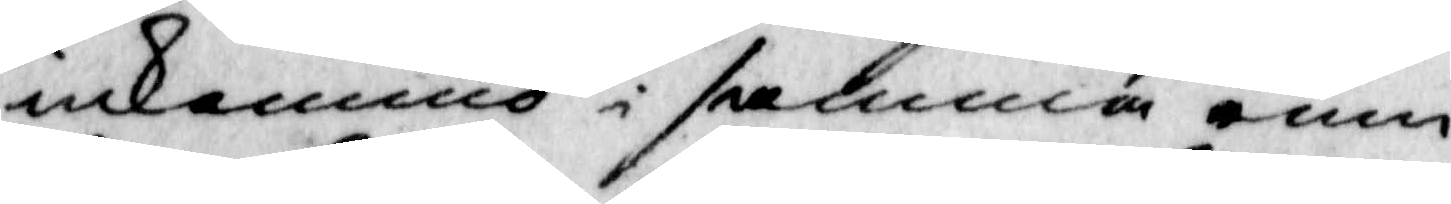inkommo i samma rum
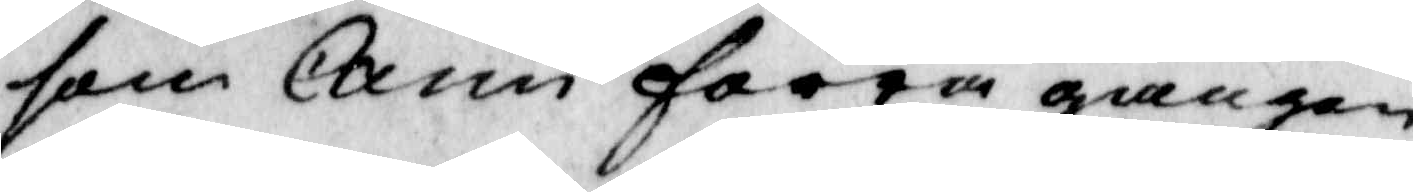som Carin förra gången
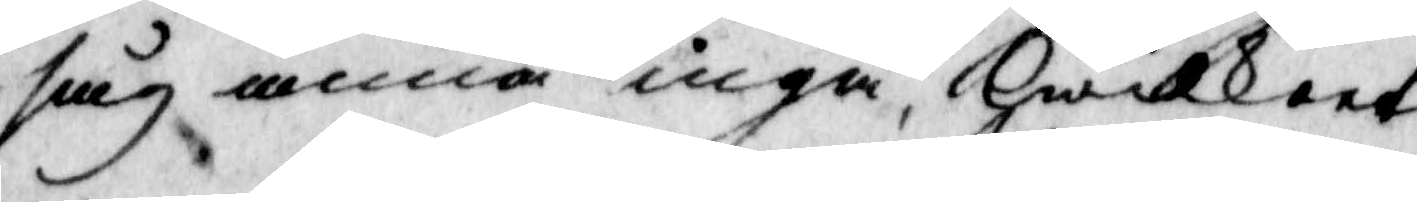såg anna ingå, Hwilkeet
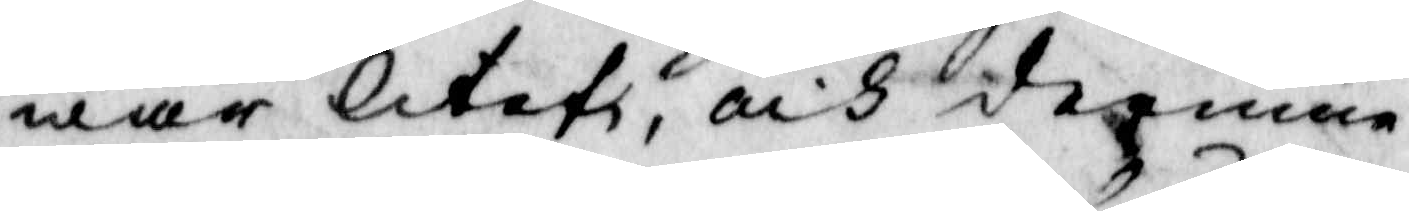war litet, och derinne
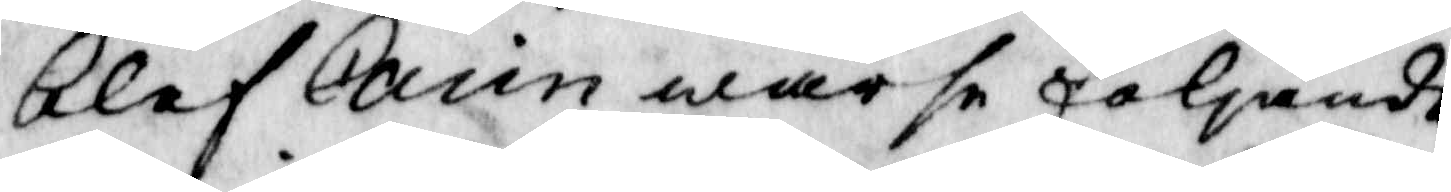blef carin warse följande
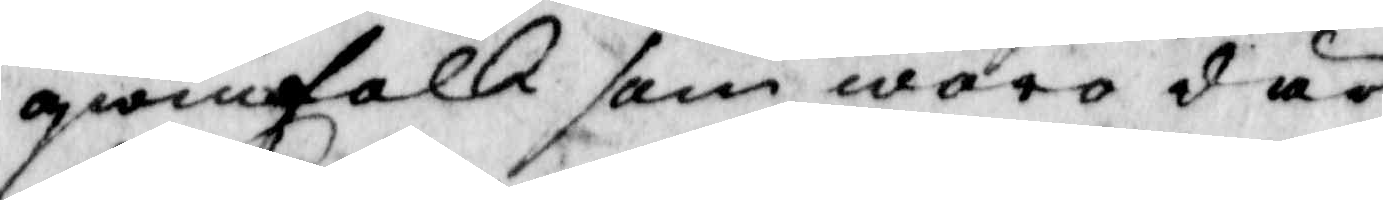qwinfolk som woro där
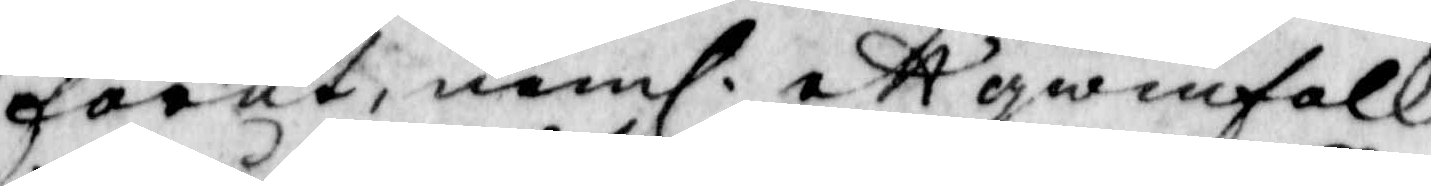förut, neml ett qwinfolk 
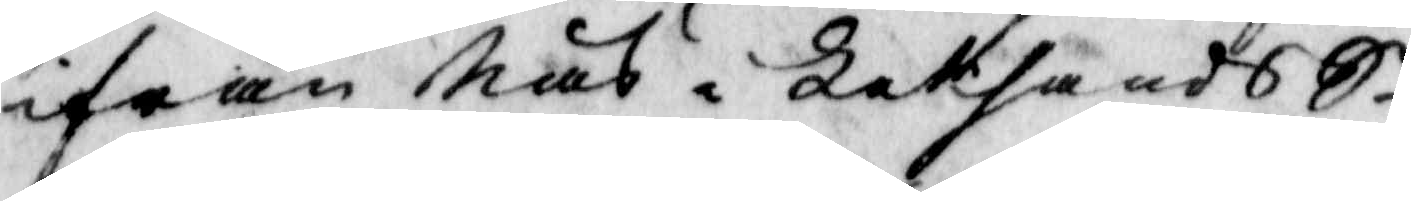ifrån Näs i Leksands S.n 
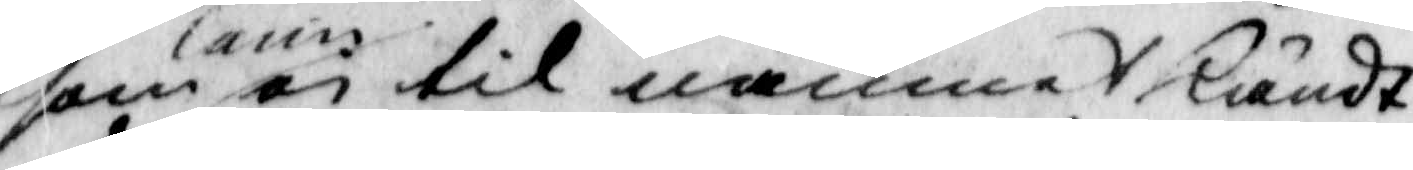som Carin ei til namnet kändt
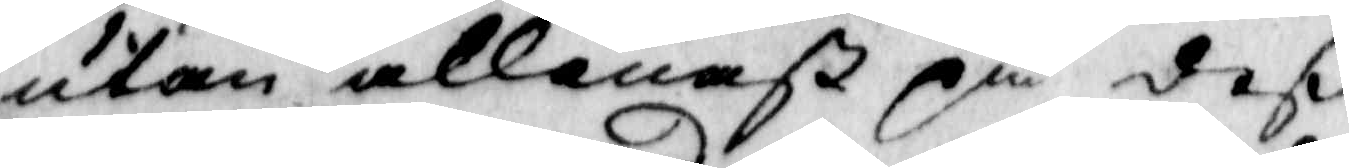utan allenast på deß
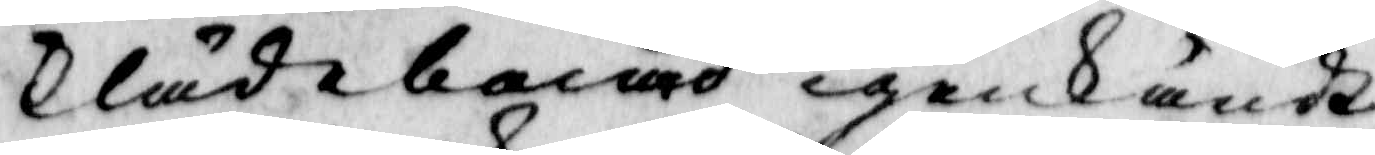Klädebacad igenkändt,
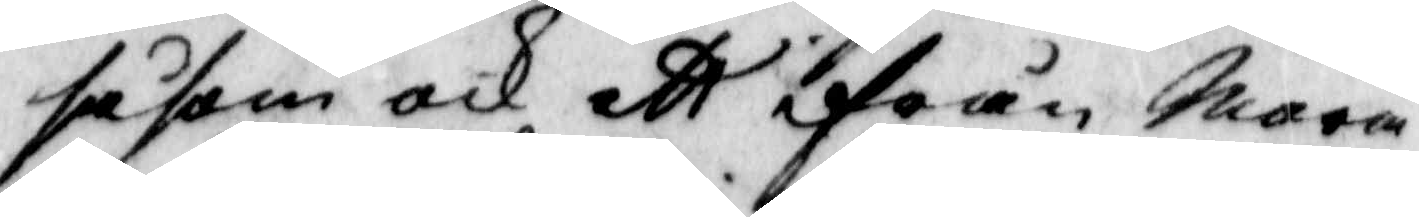såsom och ett ifrån Mora
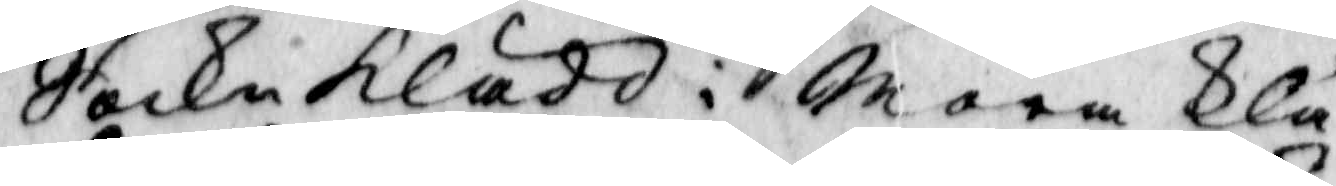Sockn klädd i Mora Klä¬
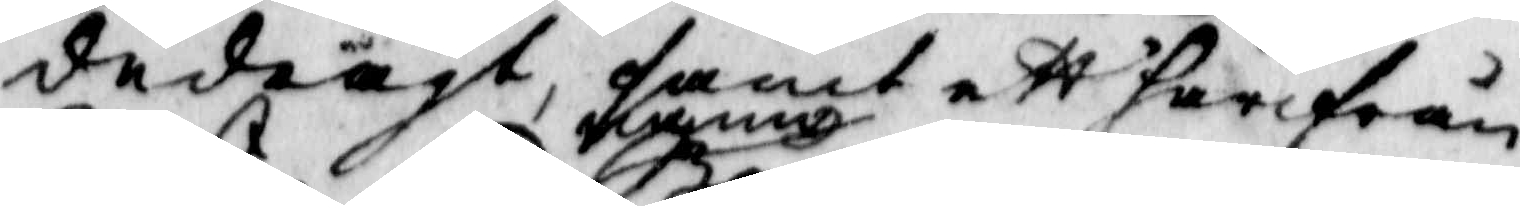dedrägt, samt ett härifrån
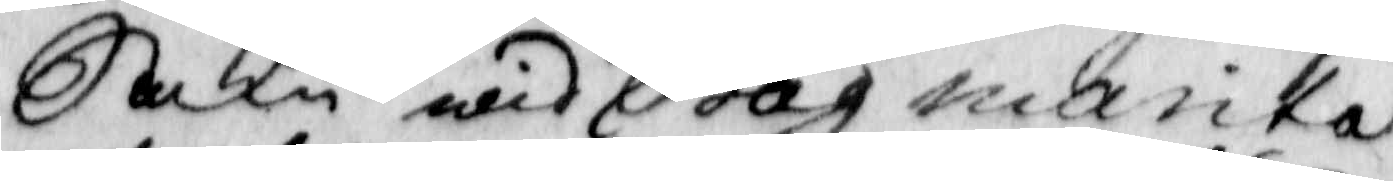Sokn wid namn Båg marika
